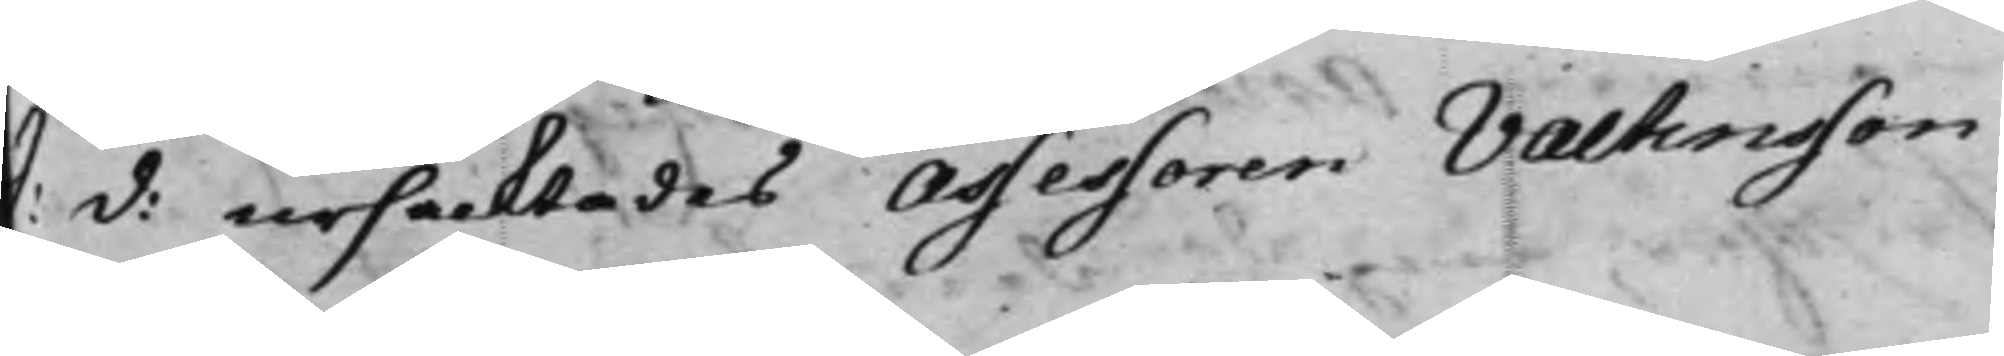S: d: ursäcktades Assessoren Valtinsson
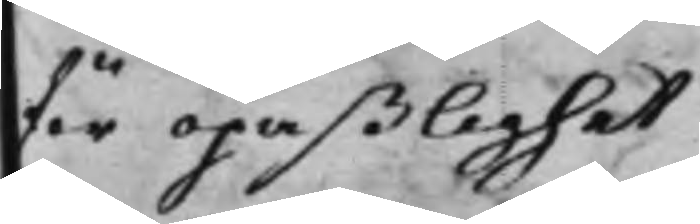för opaßlighet
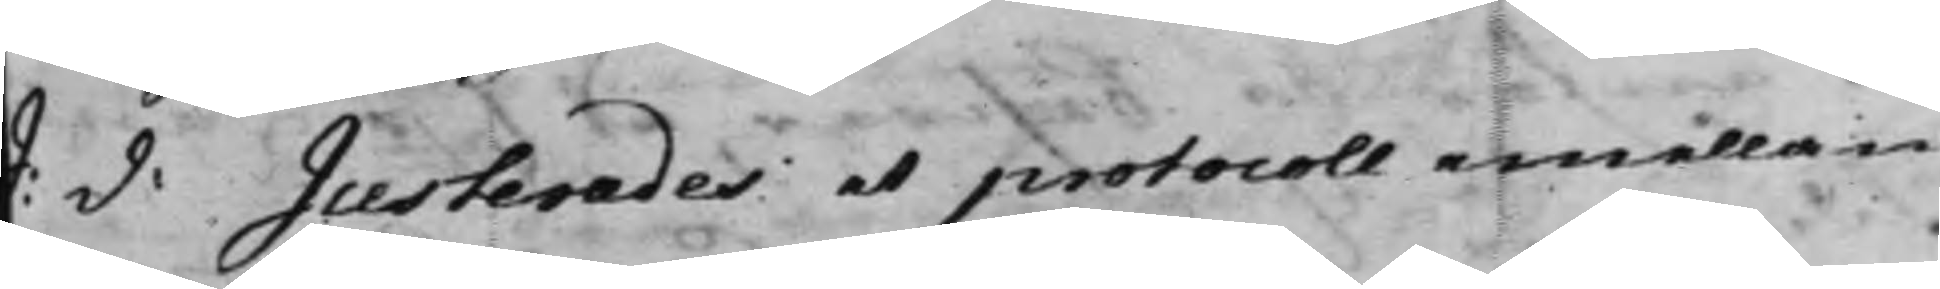S: d: Justerades et protocoll emellan
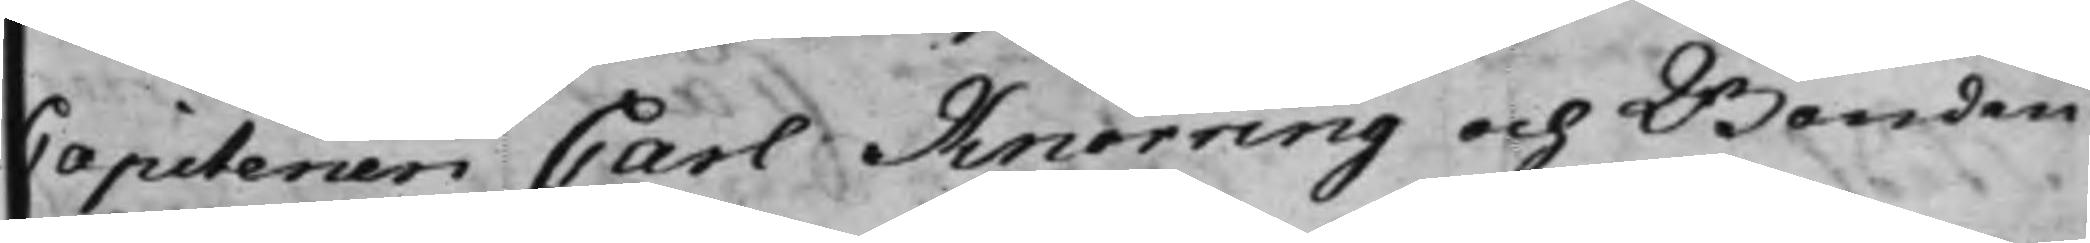Capitenen Carl Knorring och Bonden
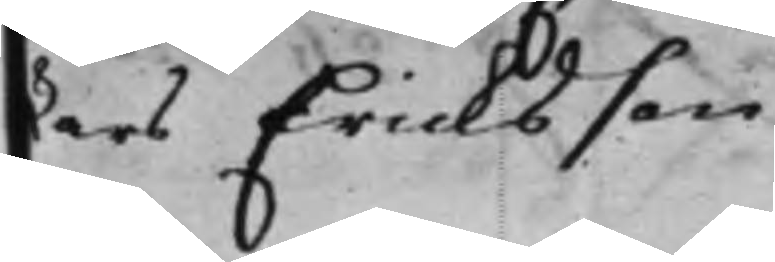Lars Ericksson
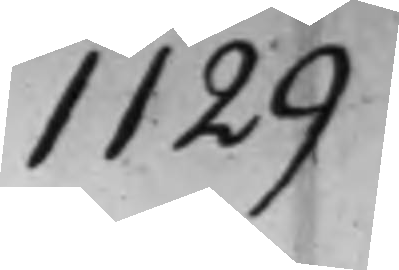1129
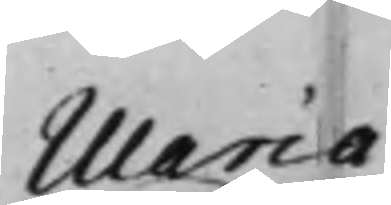Maria
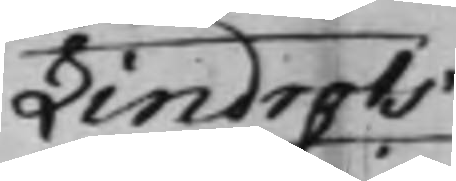Lindrots
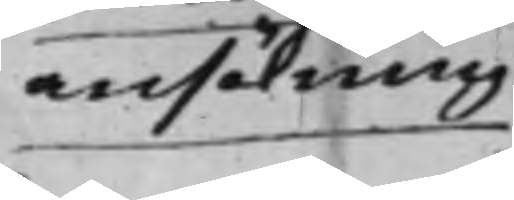ansökning
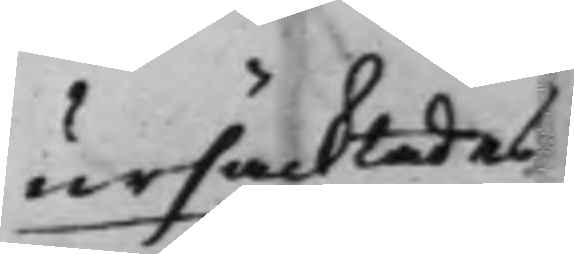ursäcktades
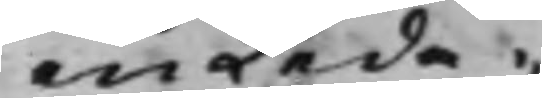en Leda¬
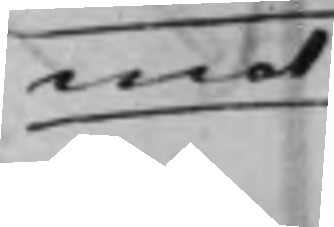mot
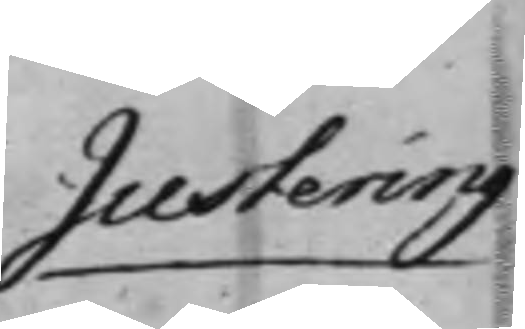Justering
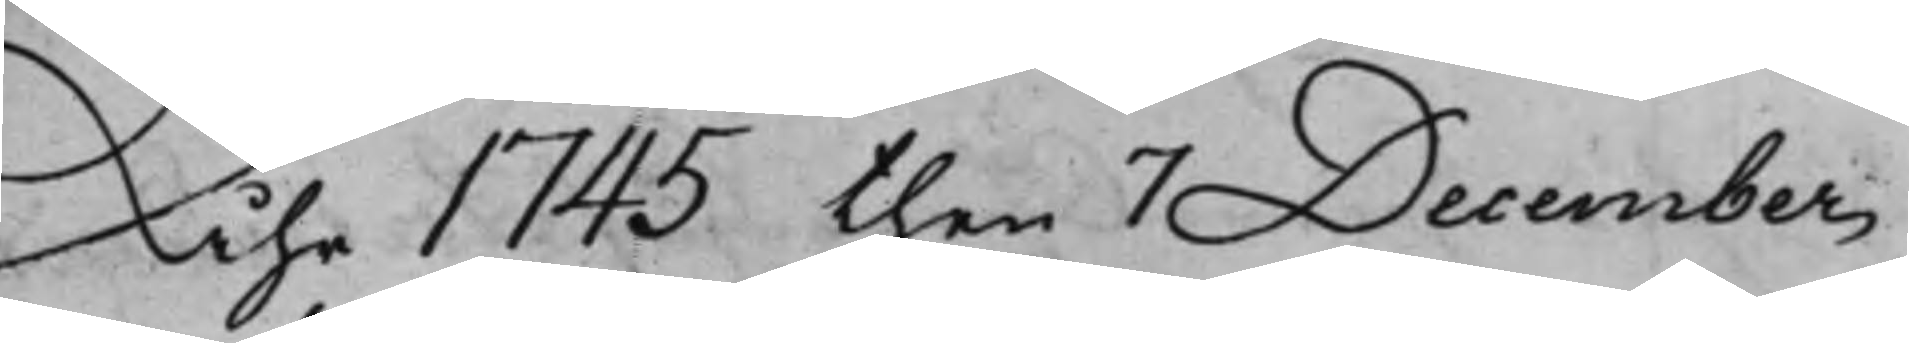Åhr 1745 then 7 December
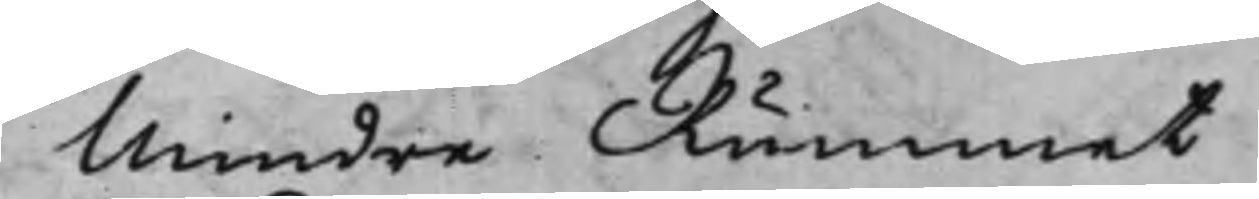Mindre Rummet
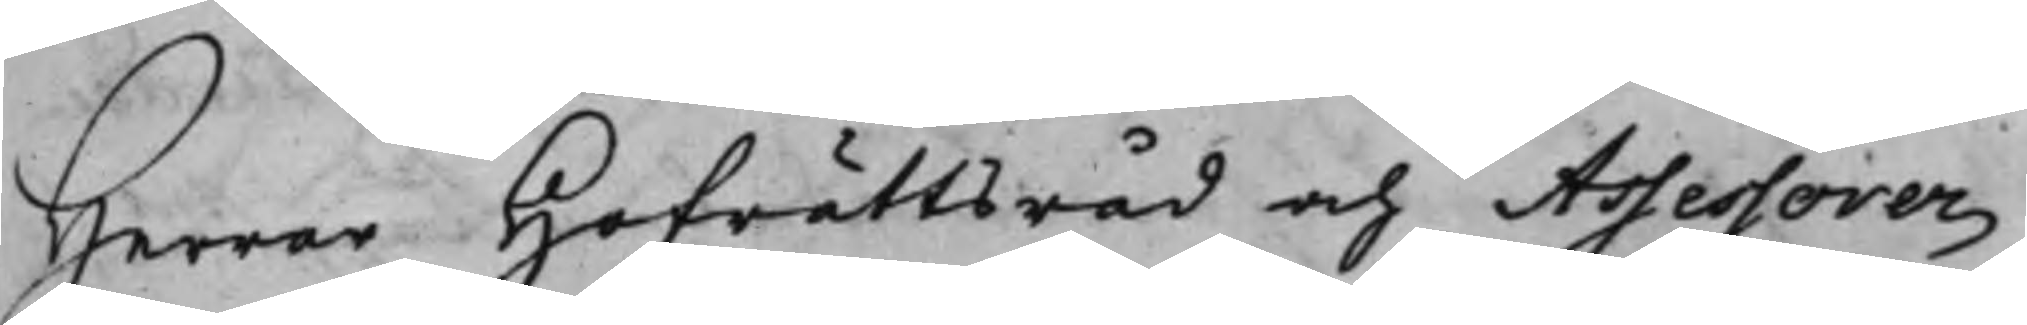Herrar Hofrättsråd och Assessorer
